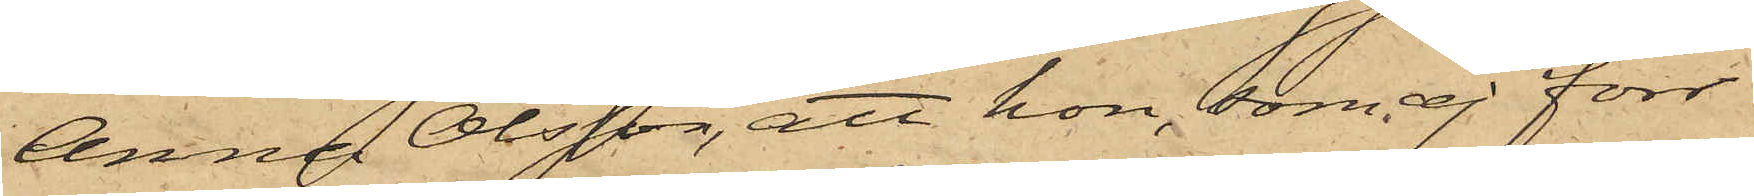Anna Olsson, att hon, som ej förr
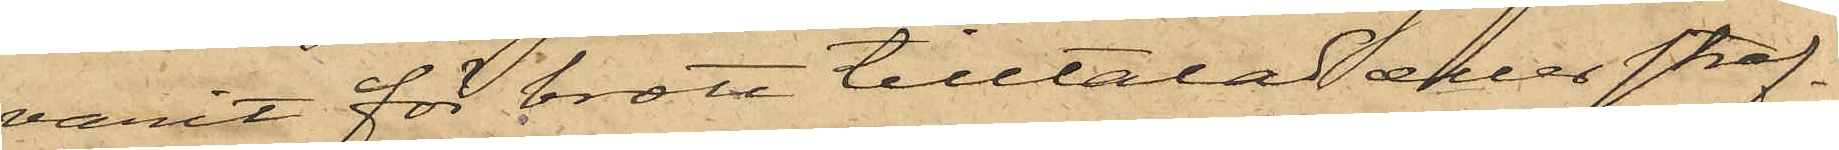varit för brott tilltalad eller straf¬
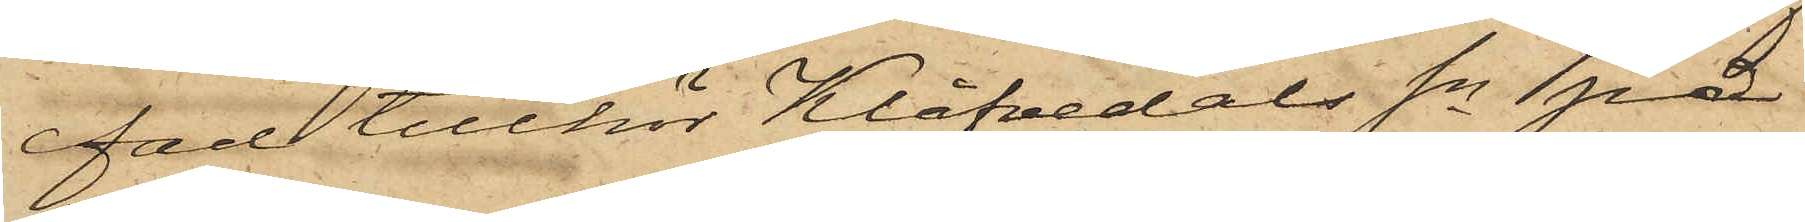fad tillhör Klåfvedals Sn på
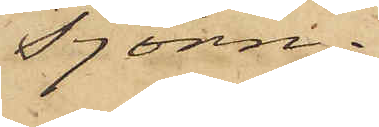Tjörn.
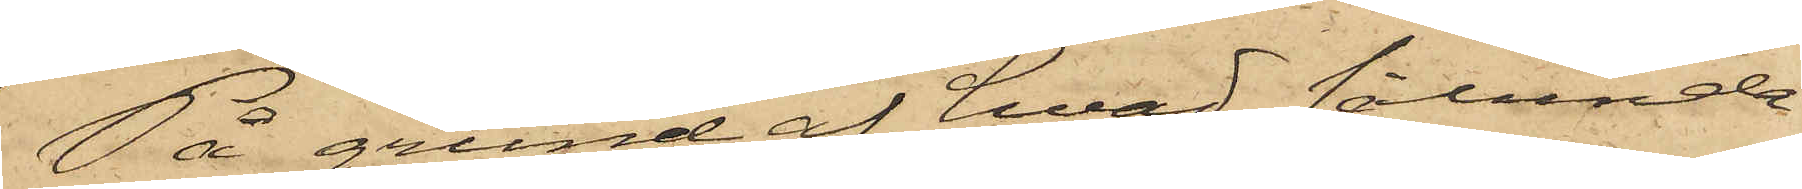På grund af hvad sålunda
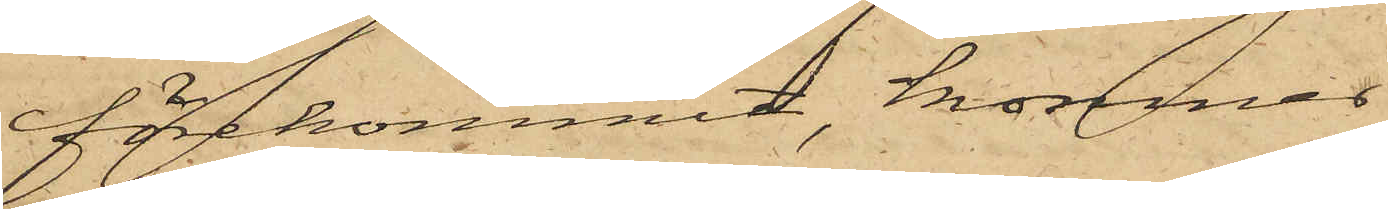förekommit, kommer
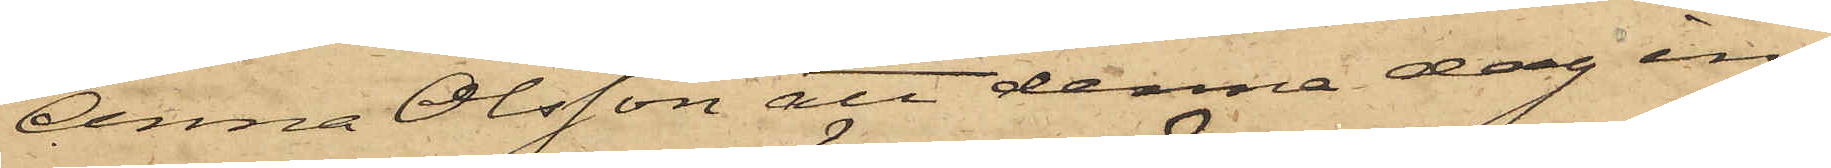Anna Olsson att denna dag in¬
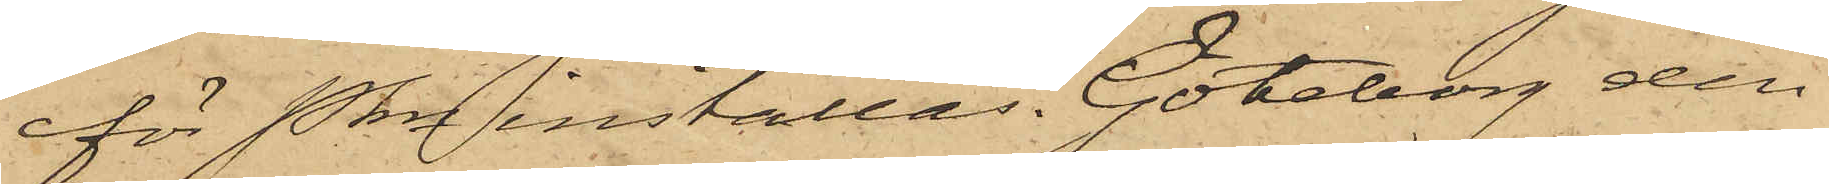för Pkn inställas. Göteborg den
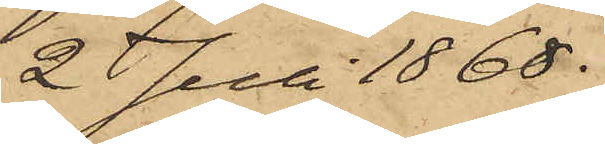2 Juli 1868.
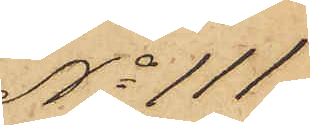No 111
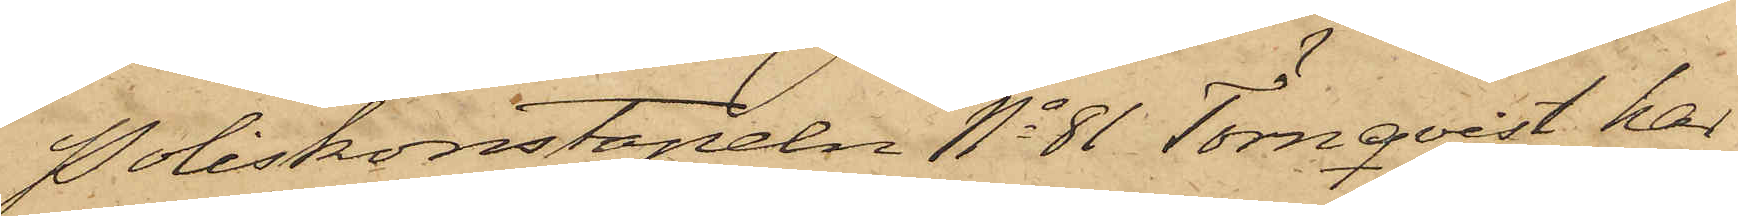Poliskonstapeln No 81 Törnqvist har
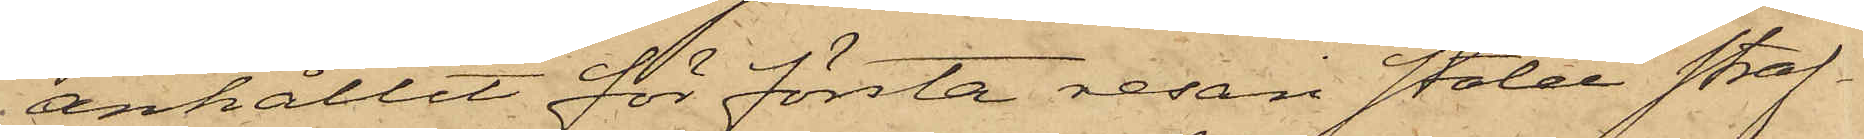anhållit för första resan stöld straf¬
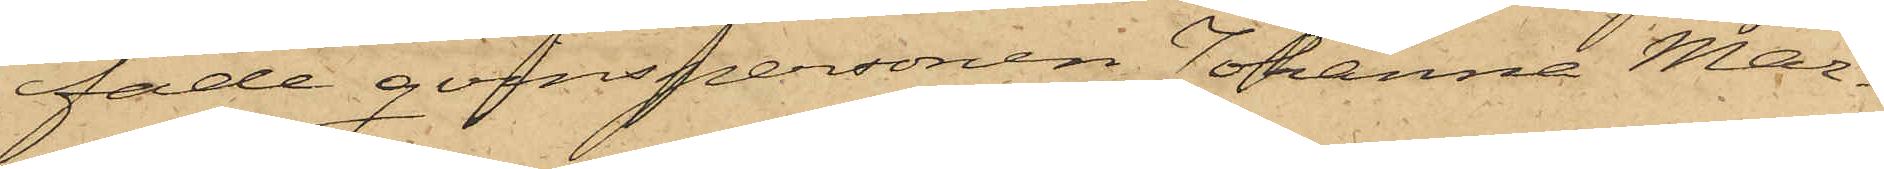fade qvinspersonen Johanna Mar¬
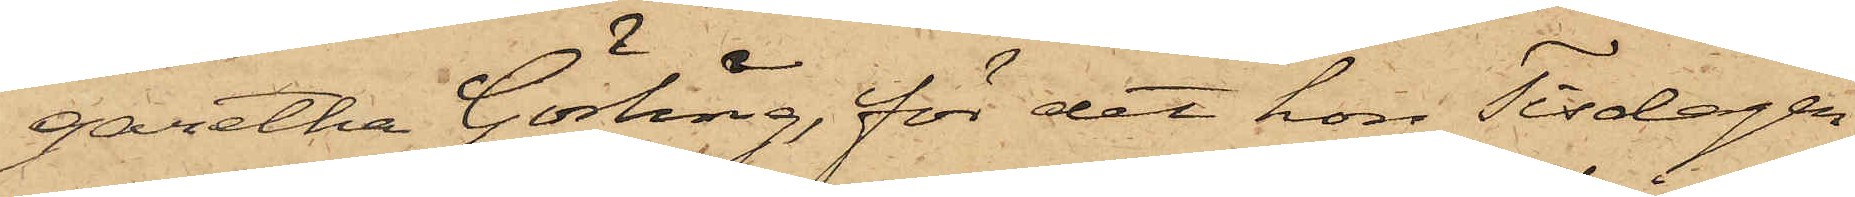garetha Görling, för det hon Tisdagen
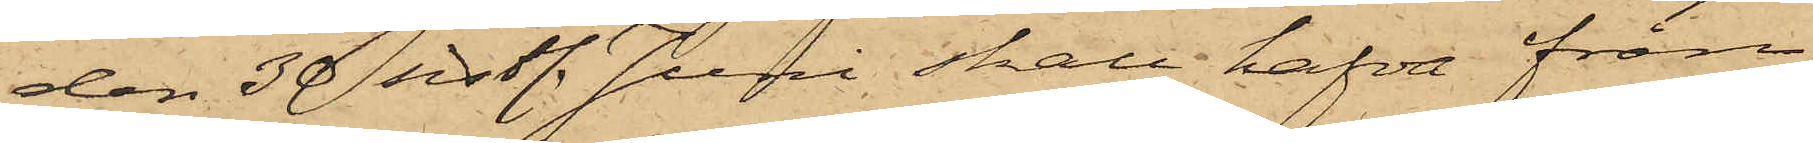den 30 sistl. Juni skall hafva från
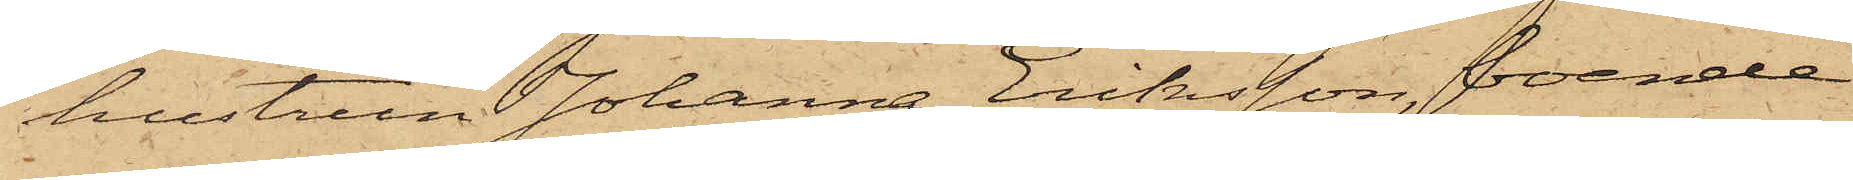hustrun Johanna Eriksson, boende
